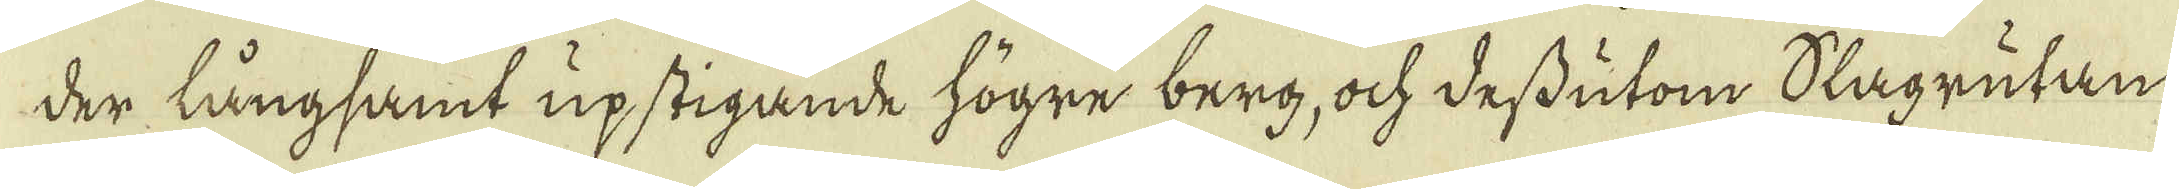der långsamt upstigande högre berg, ock dessutom Slagrutan
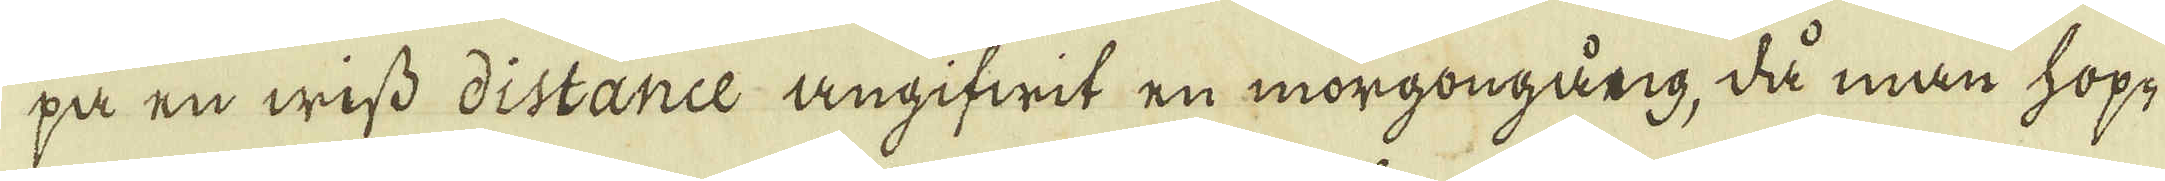pa en wiss distance angifwit en morgongång, då man hopp
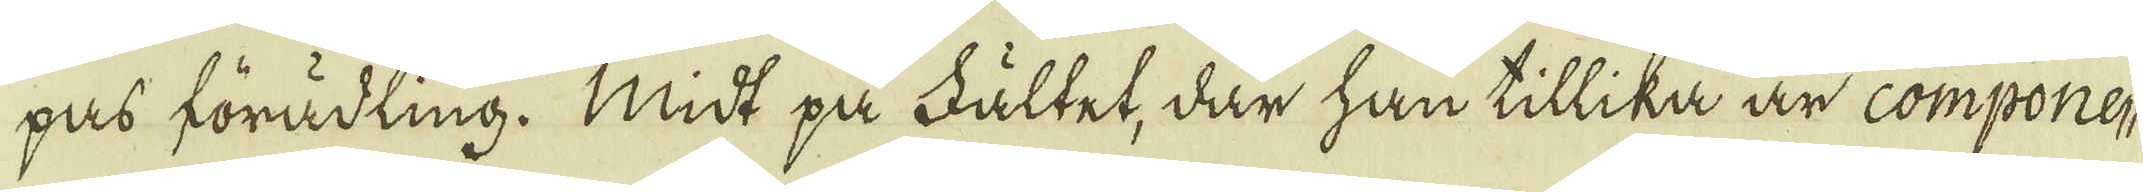pas förädling. Midt på Fältet, där han tillika är compone-
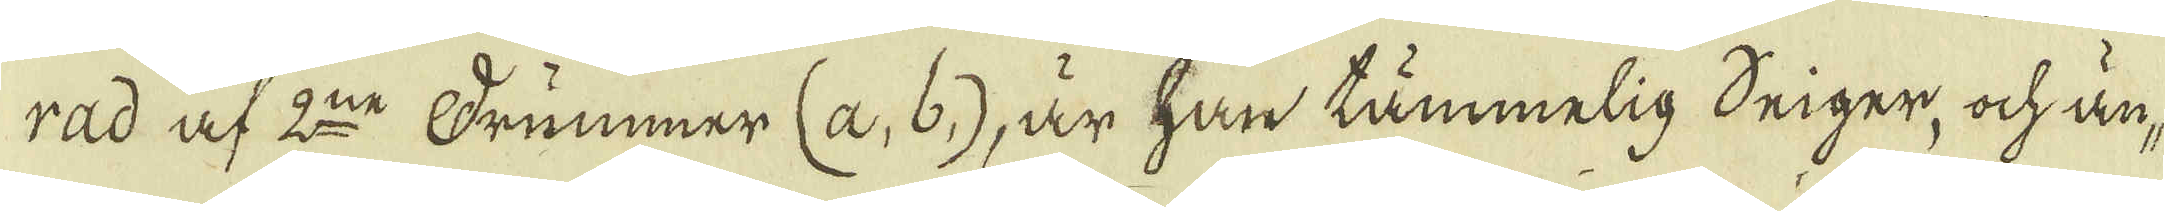rad af 2:ne Frummer (a, b,), är han tämmelig deiger, ock an-
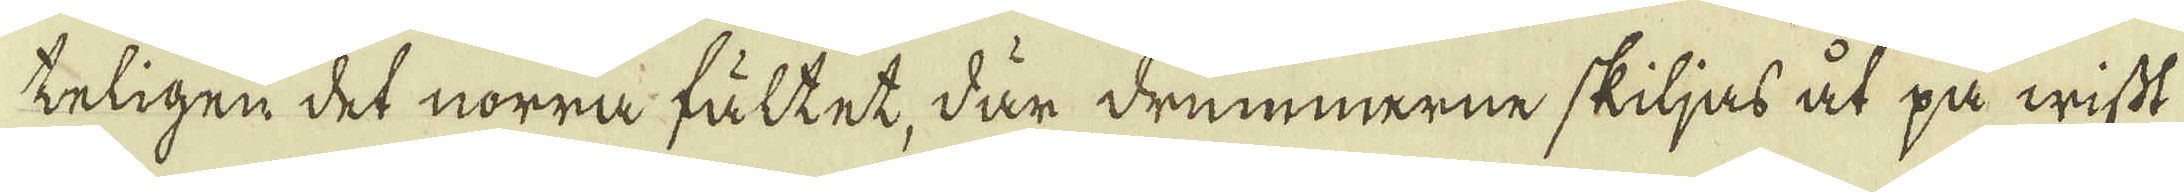keligen det norra fältet, där drummerne skiljas åt på wisst
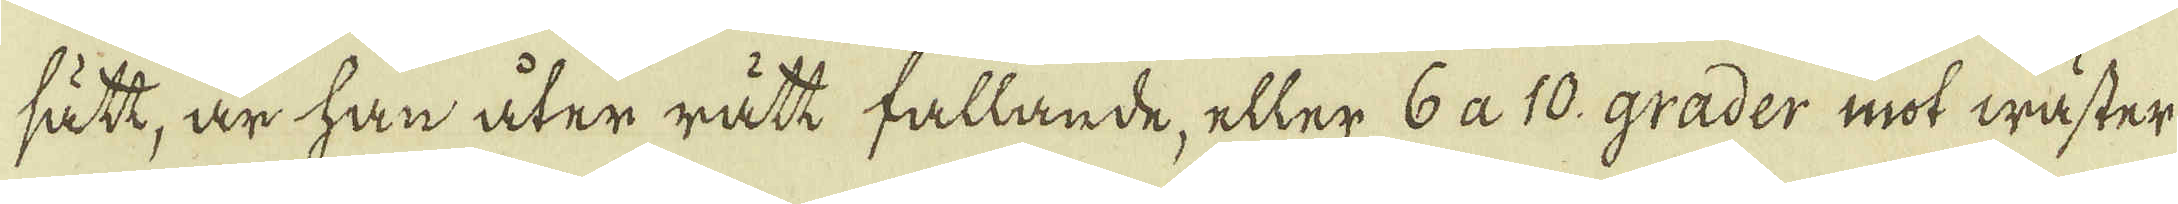sätt, är han åter rått fallande, eller 6 a 10. grader mot wäster
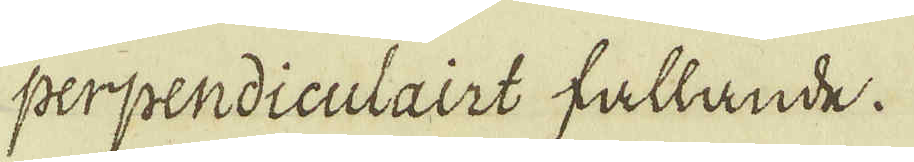perpendiculairt fallande.
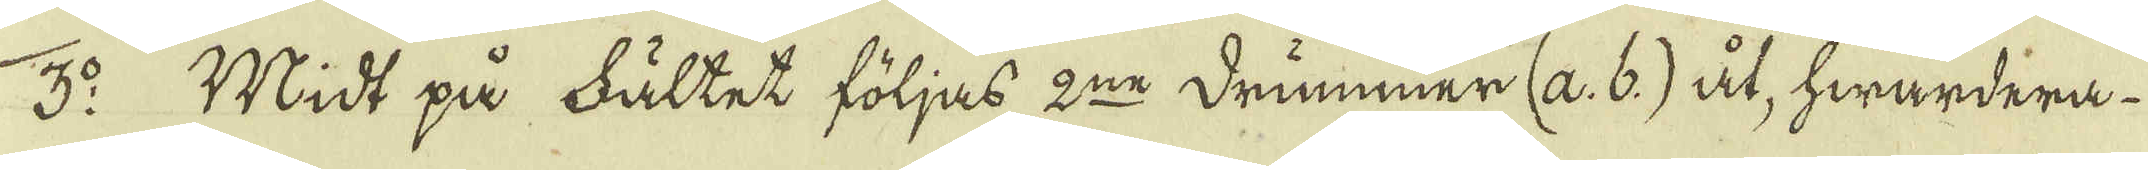3:o Midt på fältet följas 2:ne drummer (a. b.) åt, hwardera
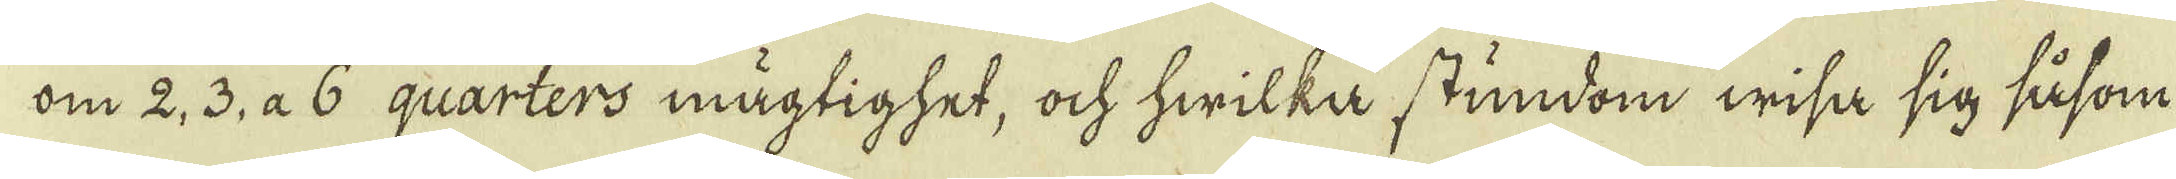om 2, 3, a 6 quarters mägtighet, ock hwilka stundom wisa sig såsom
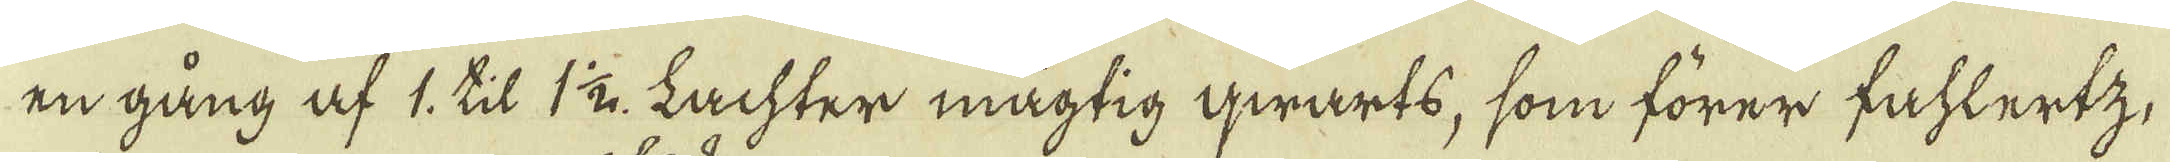en gång af 1, til 1 1/2. Lachter mägtig qwarts, som förer fahlertz,
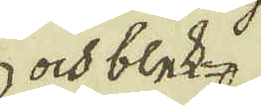ock bled
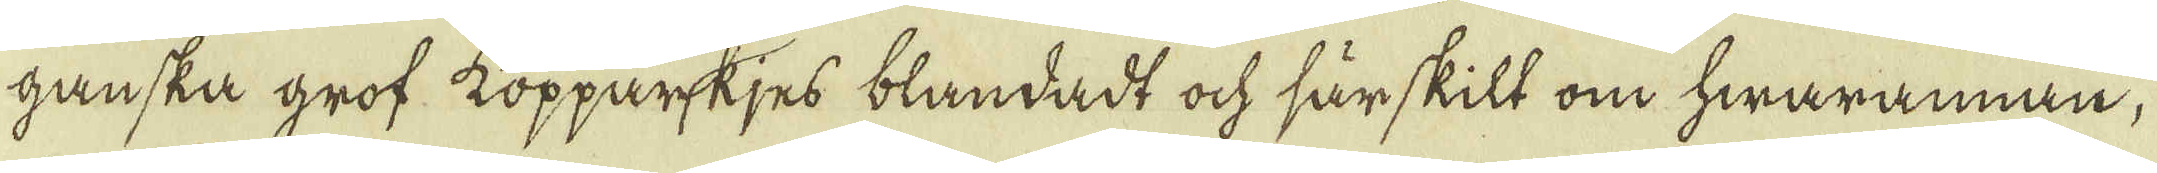ganska grof kopparkjes blandadt ock särskilt om hwarannan,
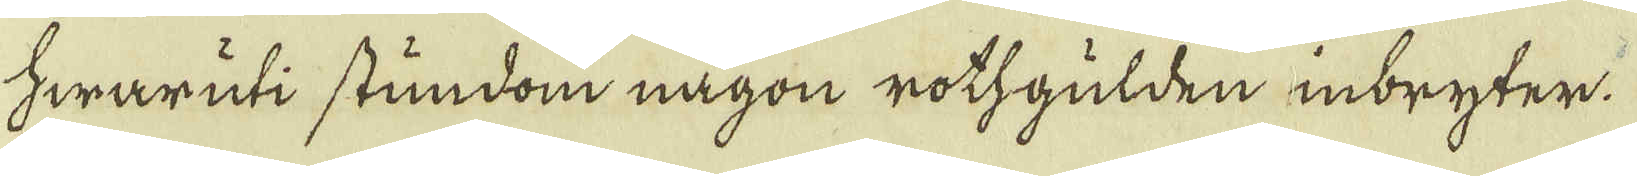Hwaruti stundom någon rothgulden inbryter.
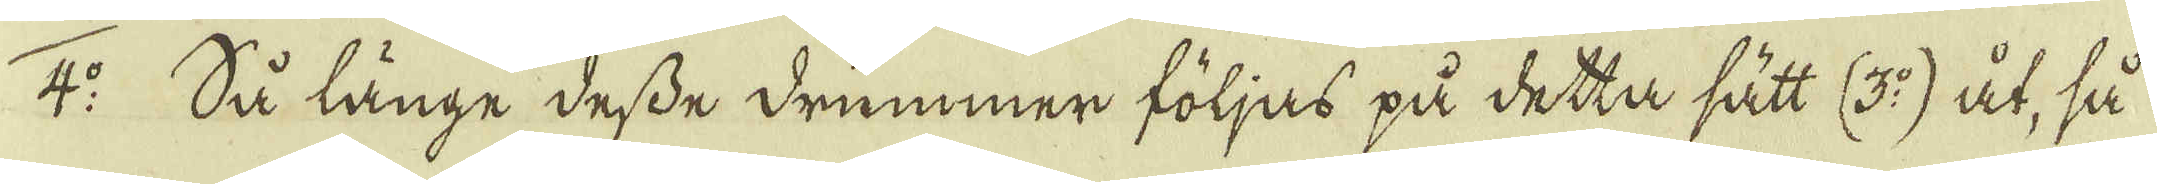4:o Så länge desse drummer följas på detta sätt (3:o) åt, så
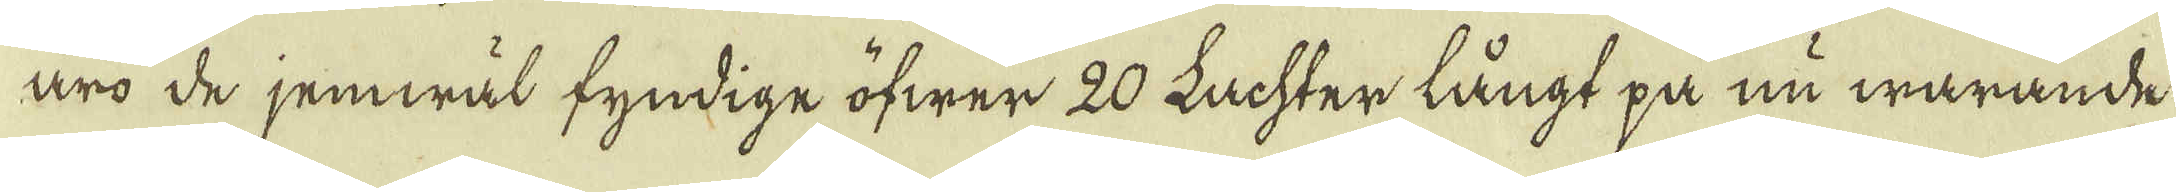äro de jemwäl fyndige öfwer 20 Lachter långt på nu warande
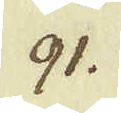91.
